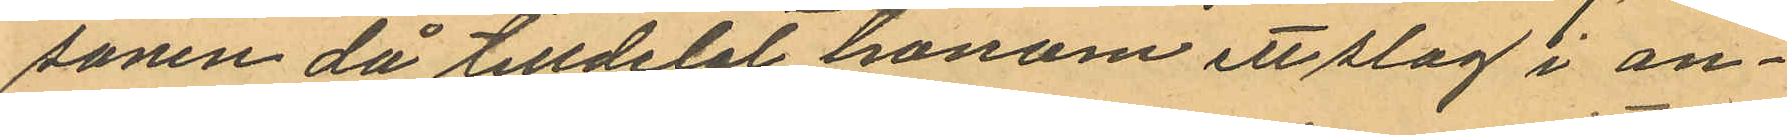sonen då tilldelat honom ett slag i an¬
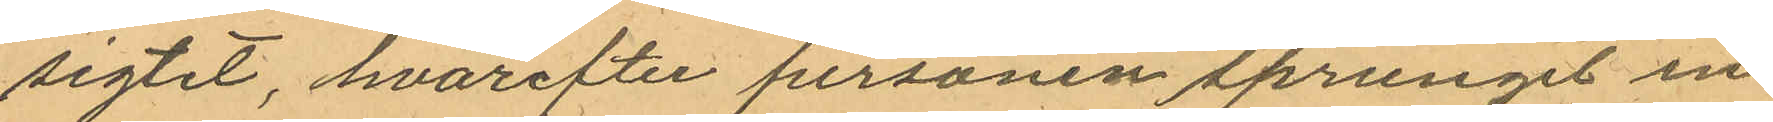sigtet, hvarefter personen sprungit in
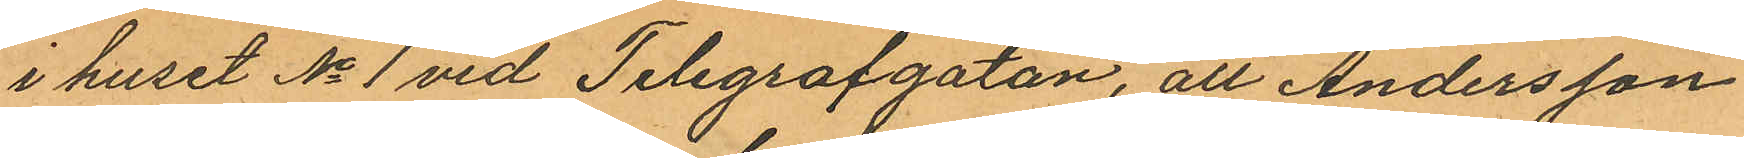i huset No 1 vid Telegrafgatan, att Andersson
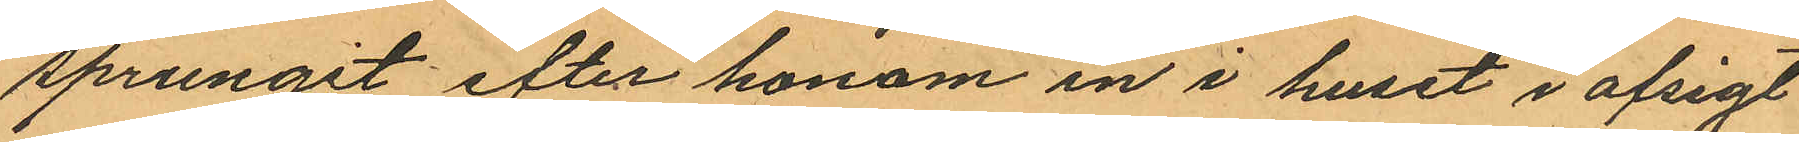sprungit efter honom in i huset i afsigt
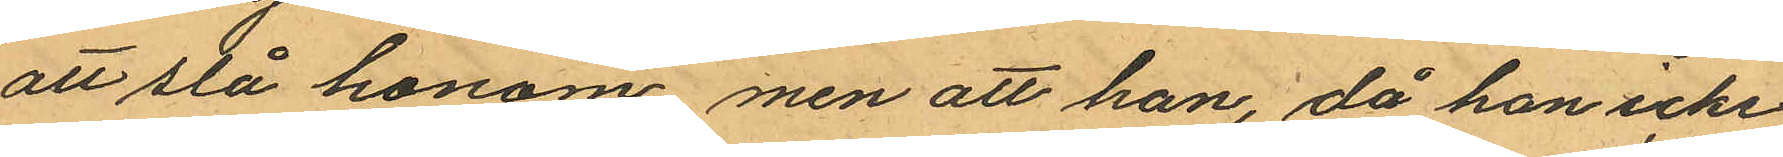att stå honom men att han, då han icke
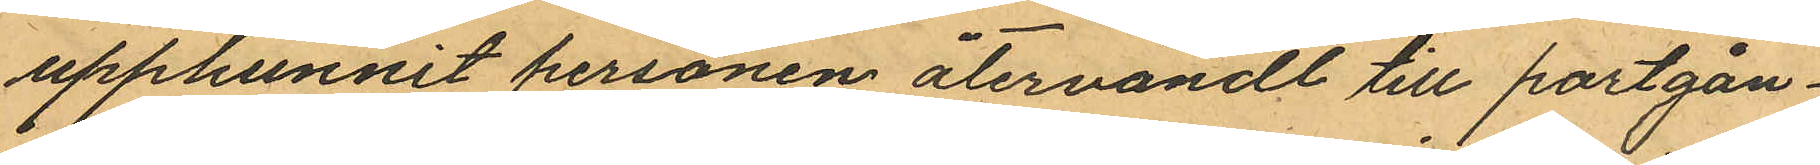upphunnit personen återvändt till portgån¬
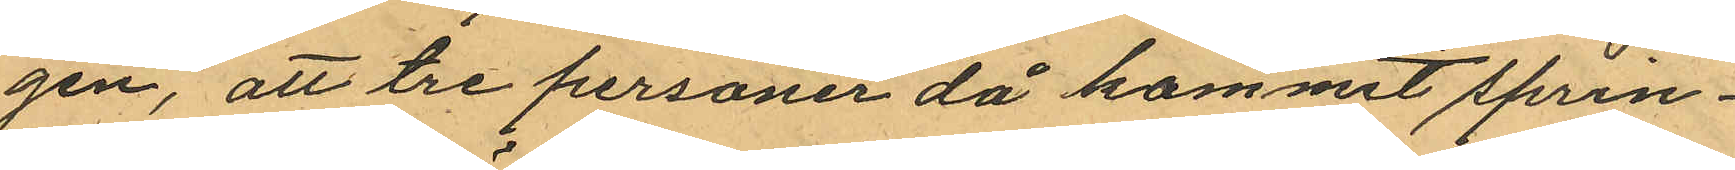gen, att tre personer då kommit sprin¬
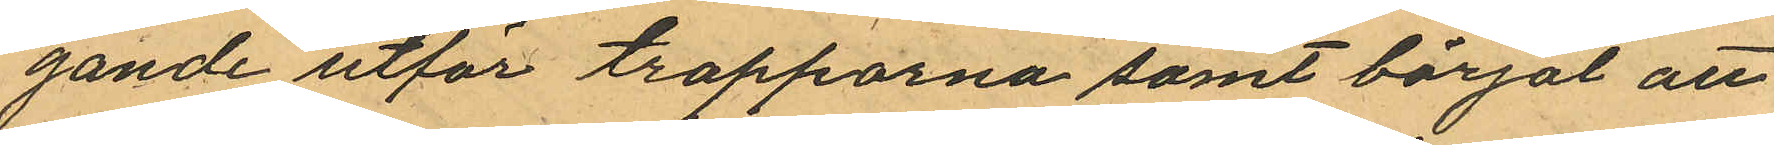gande utför trapporna samt börjat att
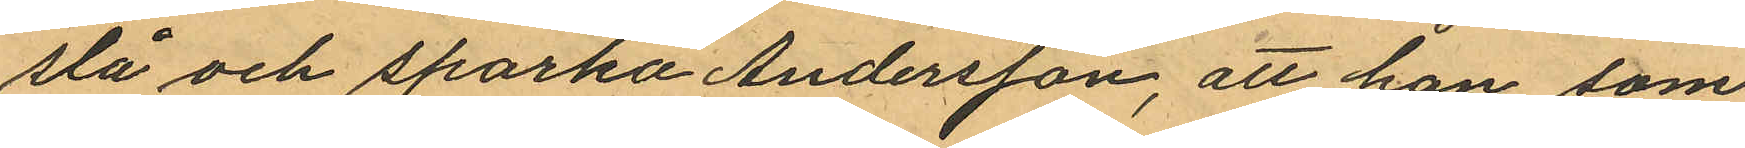slå och sparka Andersson, att han som
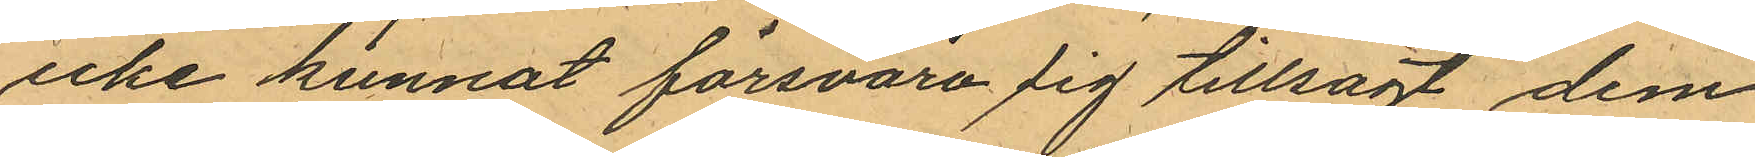icke kunnat försvara sig tillsagt dem
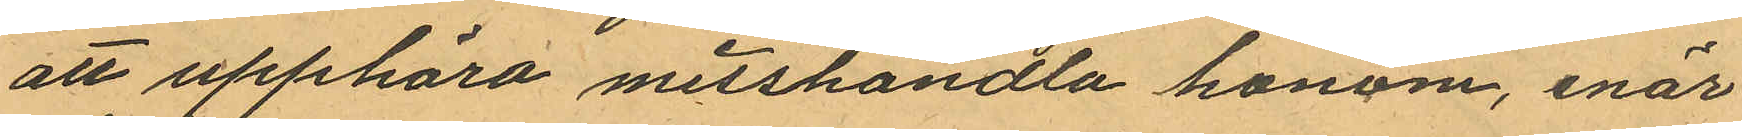att upphöra misshandla honom, enär
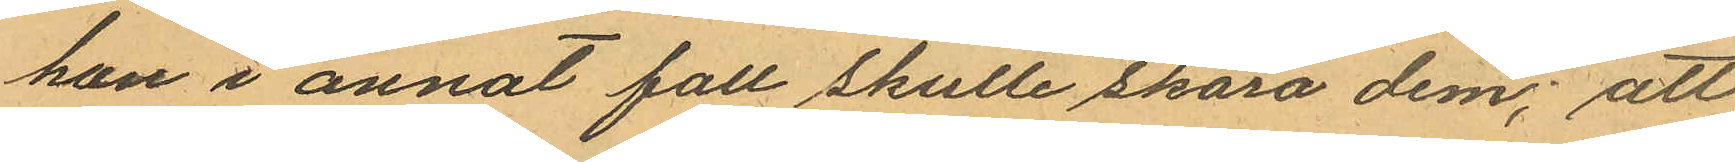han i annat fall skulle skära dem; att
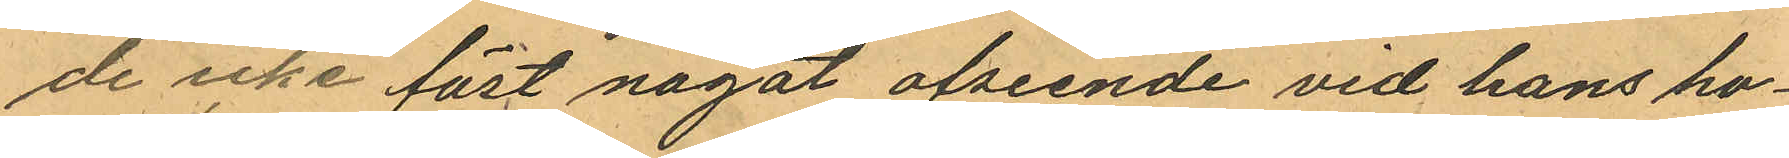de icke föst något afseende vid hans ho¬
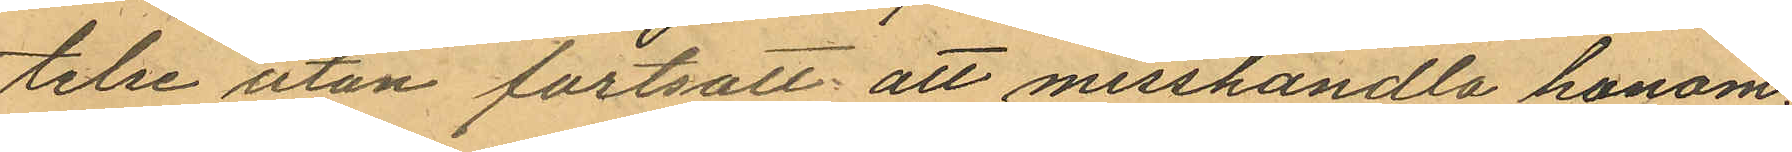telse utan fortsatt att misshandla honom;
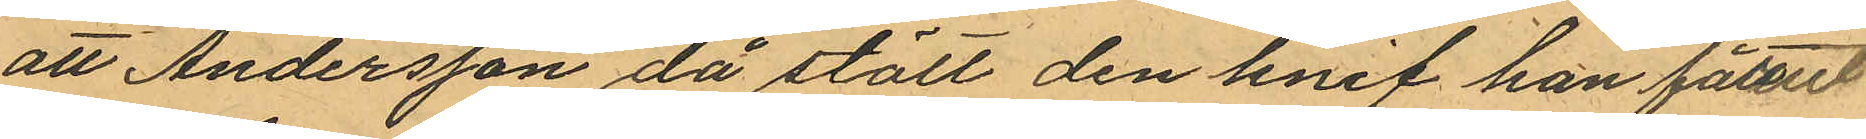att Andersson då stött den knif han förut
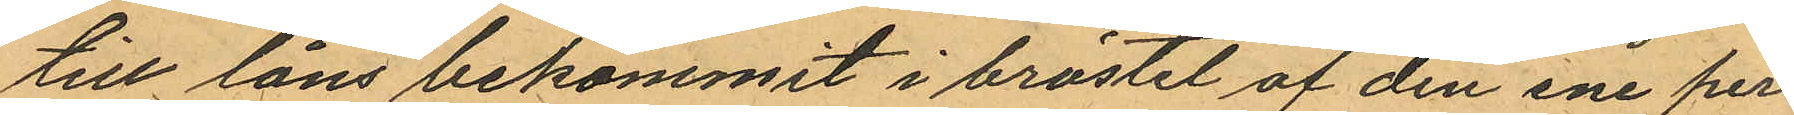till låns bekommit i bröstet af den ene per¬
